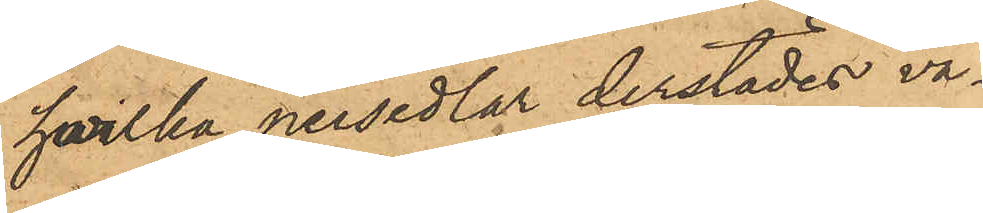hvilka persedlar derstädes va¬
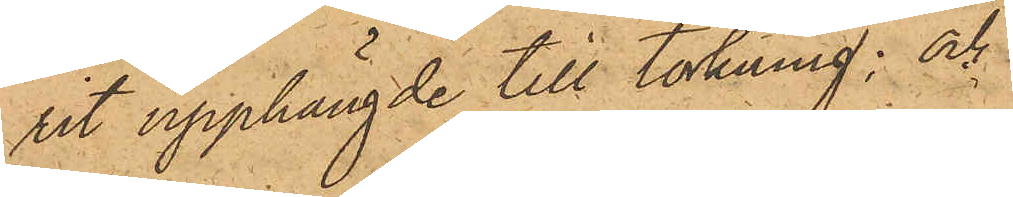rit upphängde till torkning; och
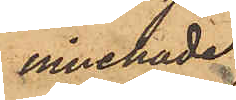innehade
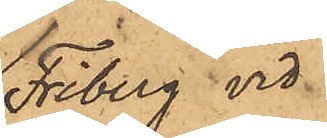Friberg vid
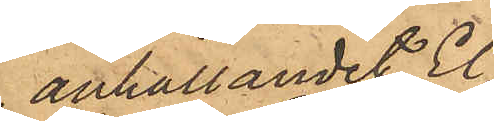anhållandet El¬
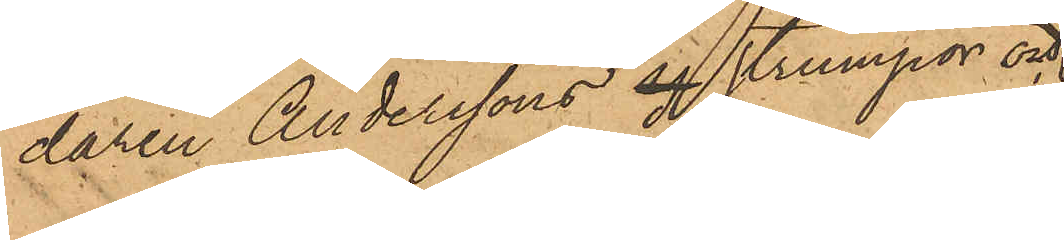daren Anderssons y strumpor och
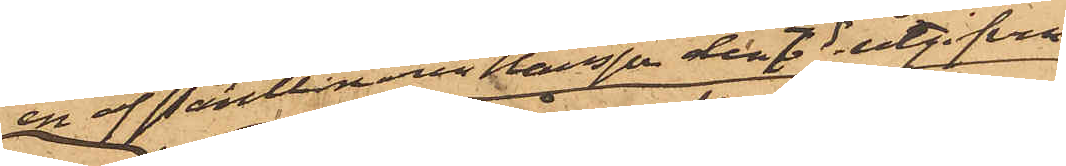en af Pantlånaren Hansson den 7 ds utgifven
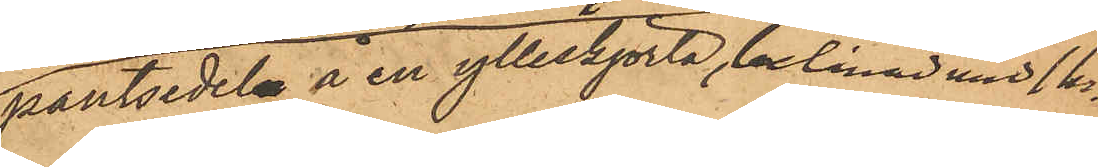pantsedeln å en ylleskjorta, belånad med 1 kr.
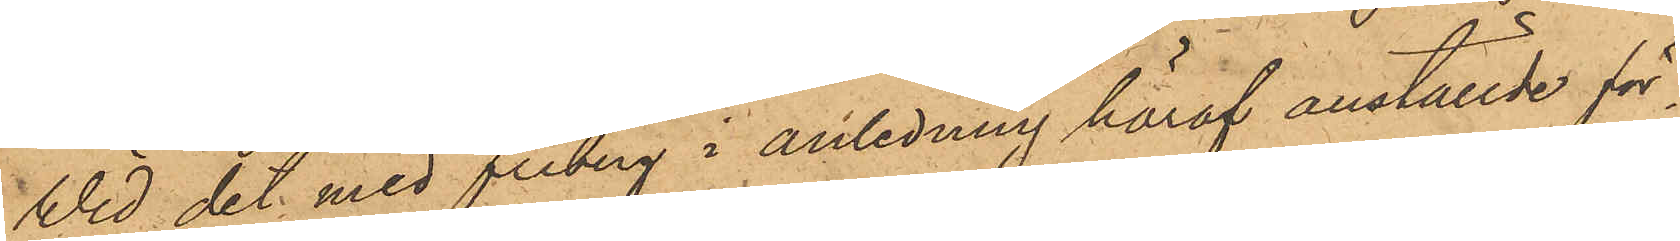Vid det med Friberg i anledning häraf anställde för¬
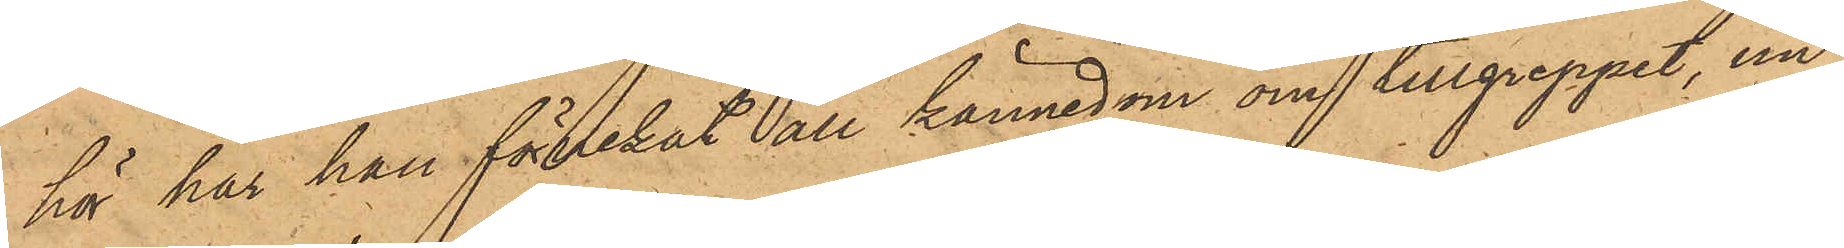hör har han förnekat all kännedom om tillgreppet, un¬
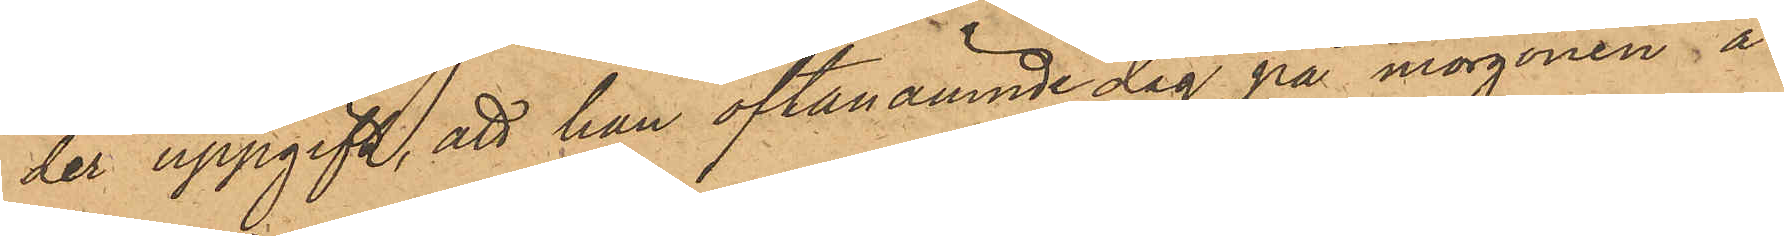der uppgift, att han oftanämnde dag på morgonen å
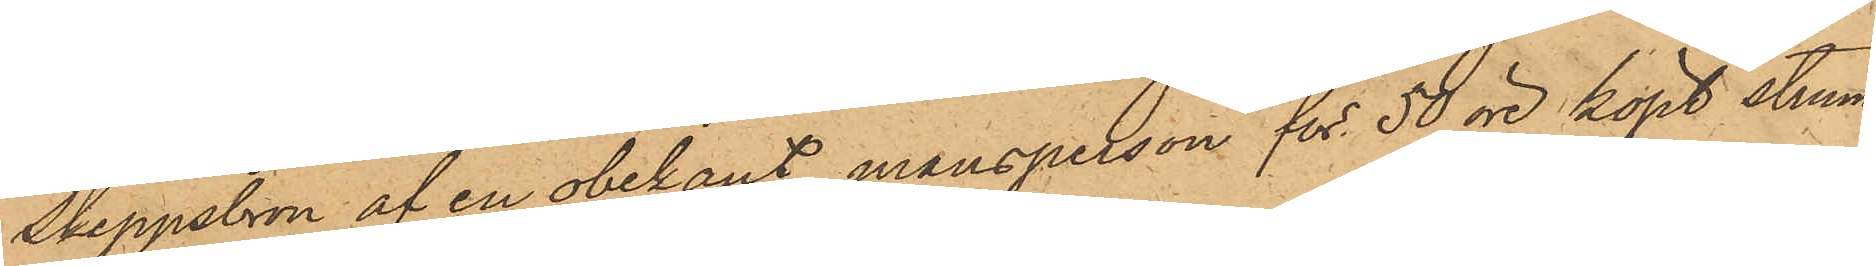Skeppsbron af en obekant mansperson för 50 öre köpt strum¬
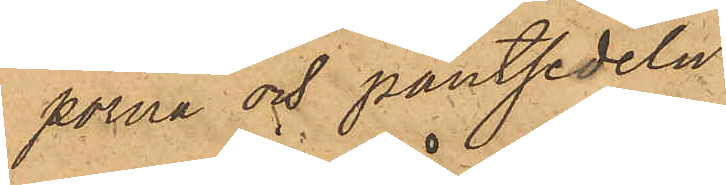porna och pantsedeln.
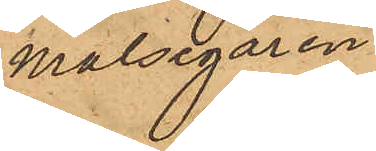Målsegaren
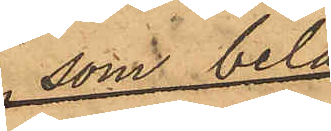Hanssen har
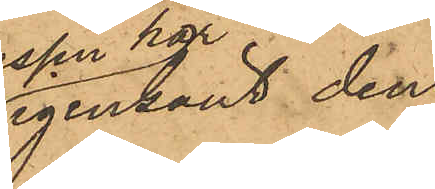igenkänt den
